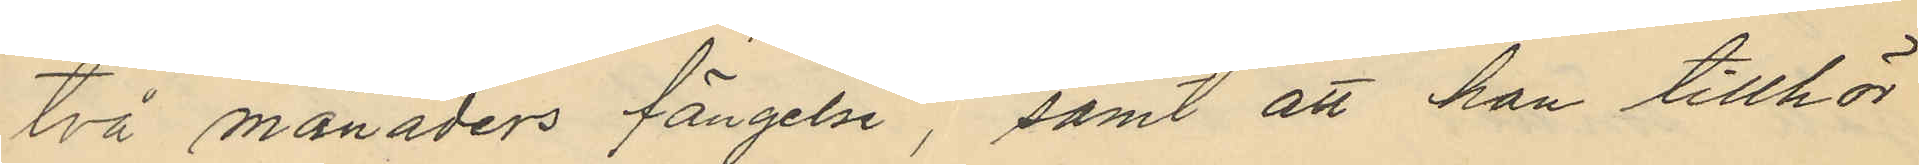två månaders fängelse, samt att han tillhör
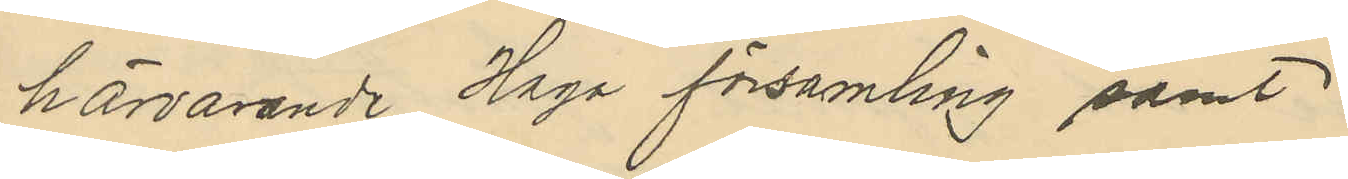härvarande Haga församling samt
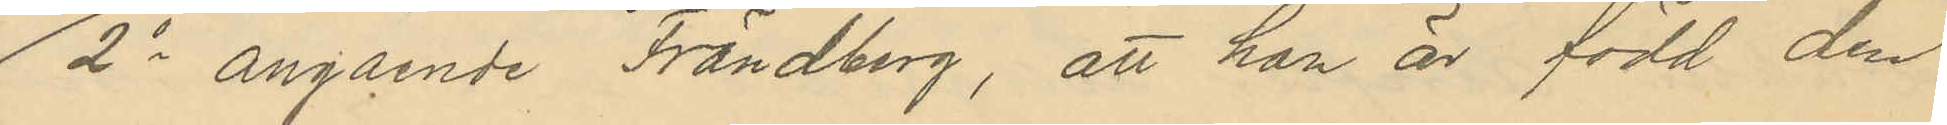2o angående Frändberg, att han är född den
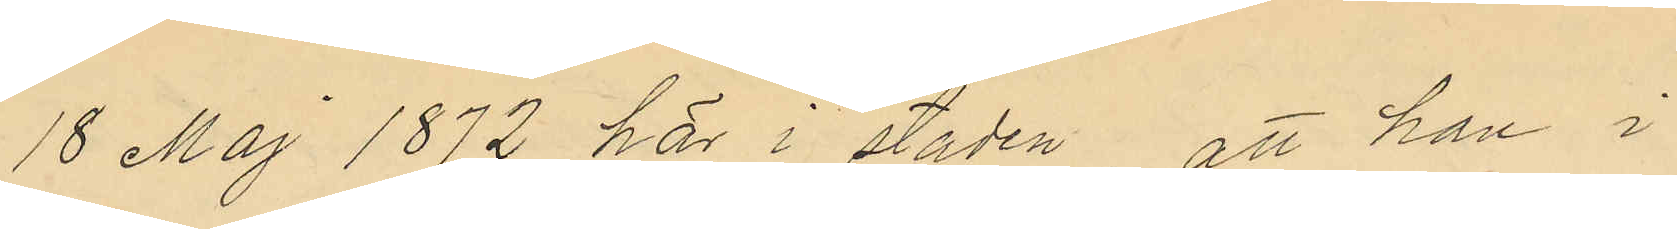18 Maj 1872 här i staden att han i
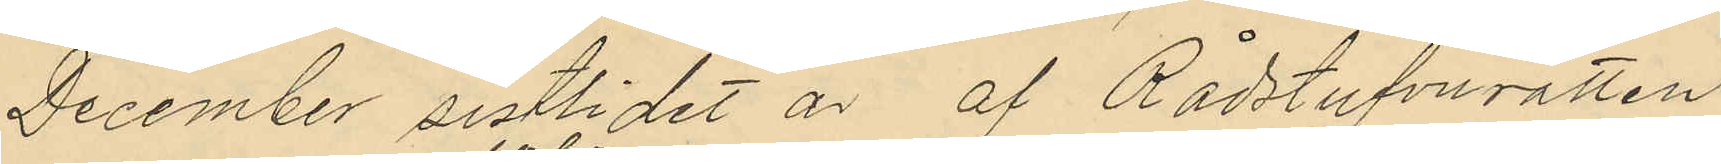December sistlidet år af Rådstufvurätten
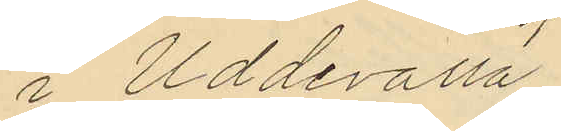i Uddervalla
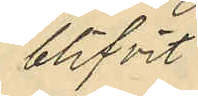blifvit
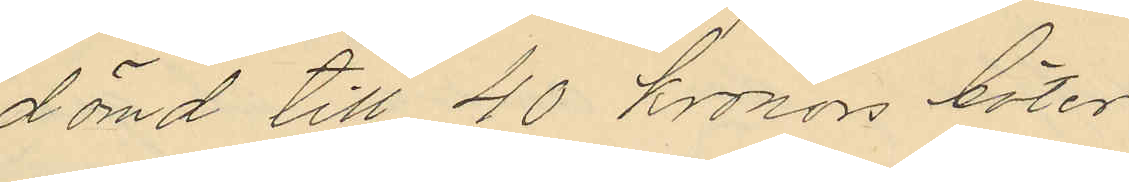dömd till 40 kronors böter
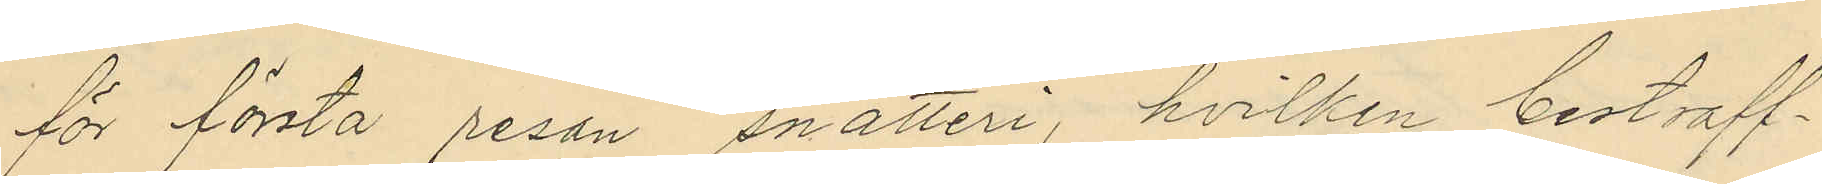för första resan snatteri, hvilken bestraff¬
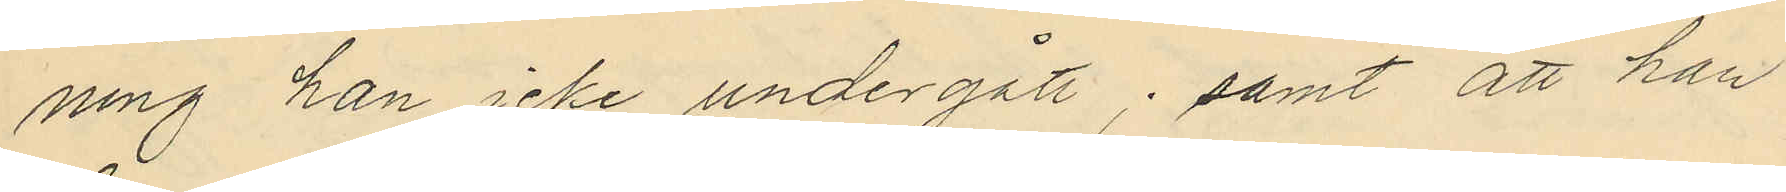ning han icke undergått; samt att han
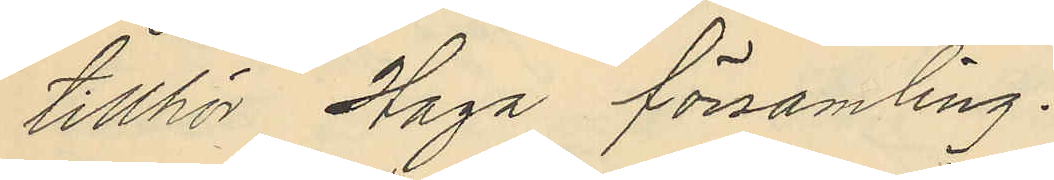tillhör Haga församling.
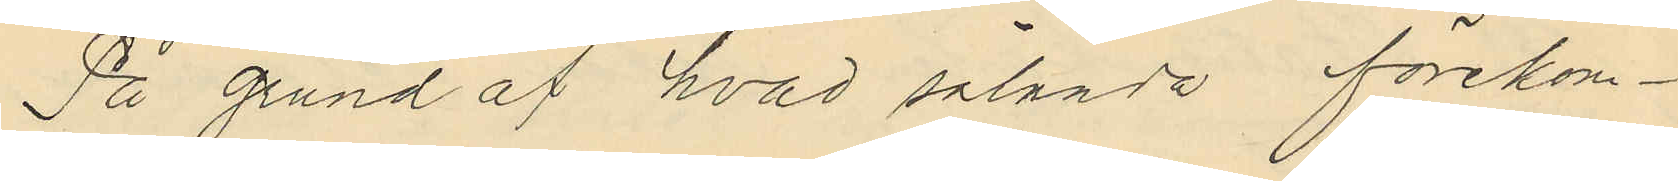På grund af hvad sålunda förekom¬
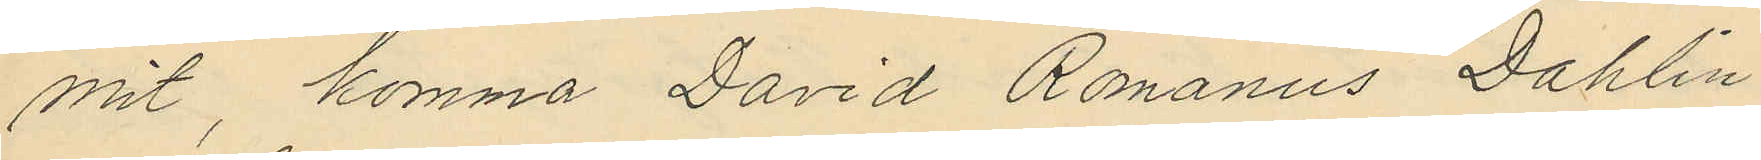mit, komma David Romanus Dahlin
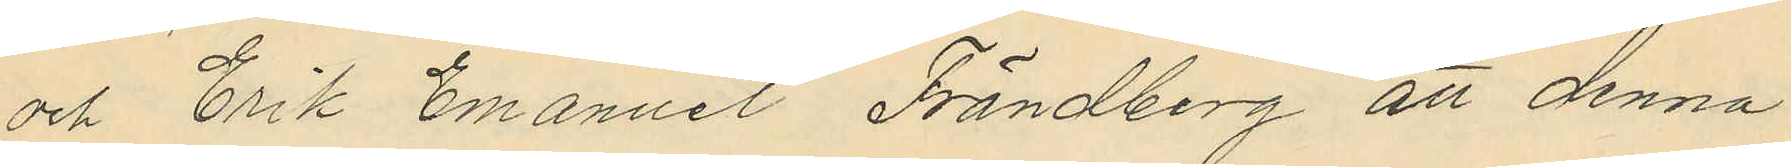och Erik Emanuel Frändberg att denna
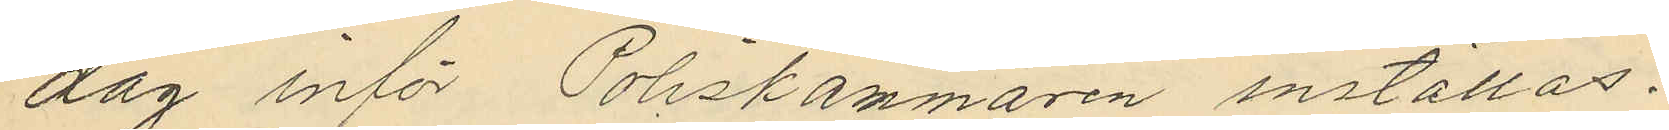dag inför Poliskamnaren inställas.
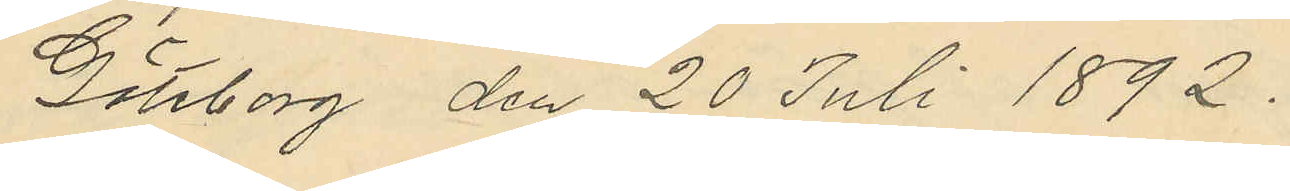Göteborg den 20 Juli 1892.
